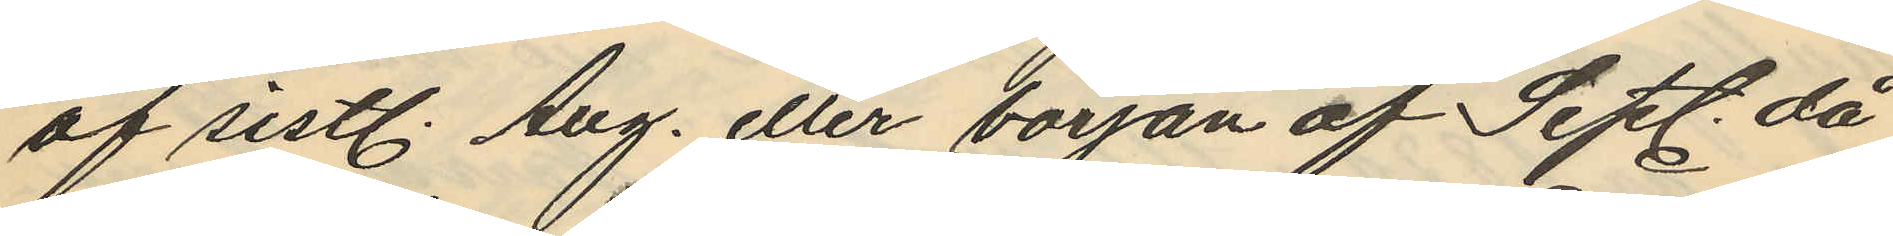af sistl. Aug. eller början af Sept. då
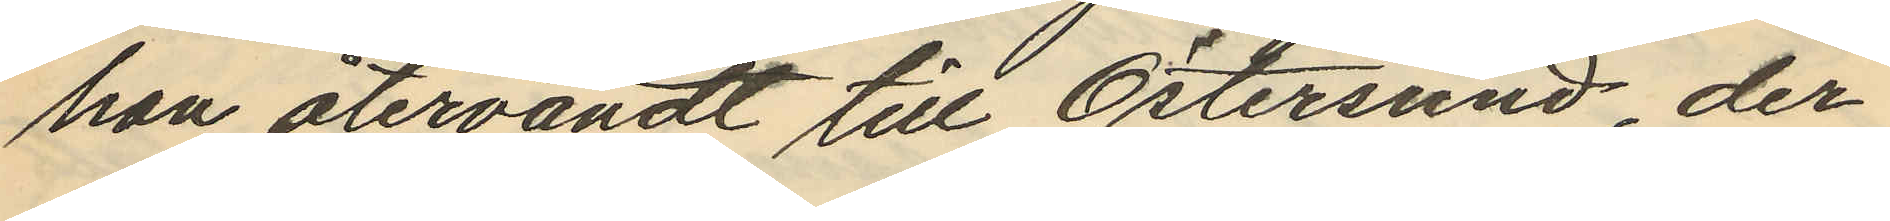han återvändt till Östersund, der¬
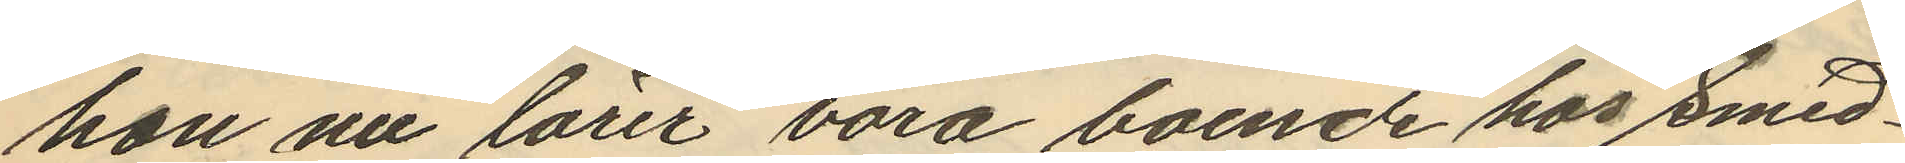hon nu lärer vara boende hos Smed¬
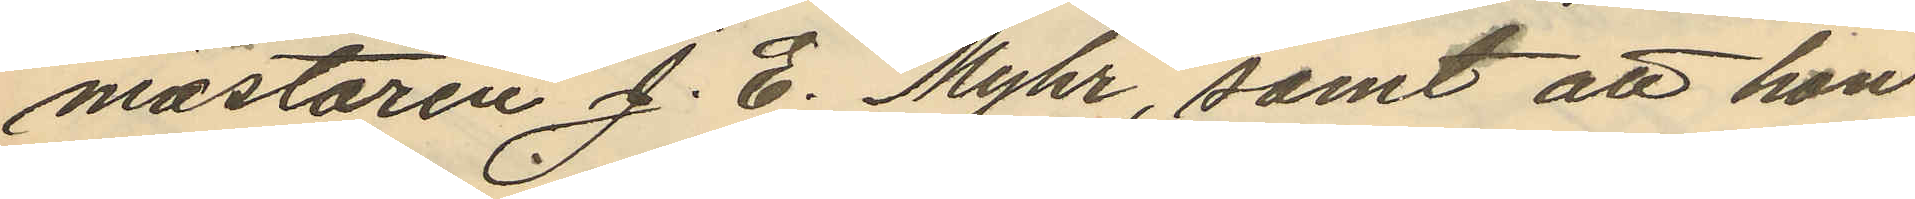mästaren J. E. Myhr, samt att hon
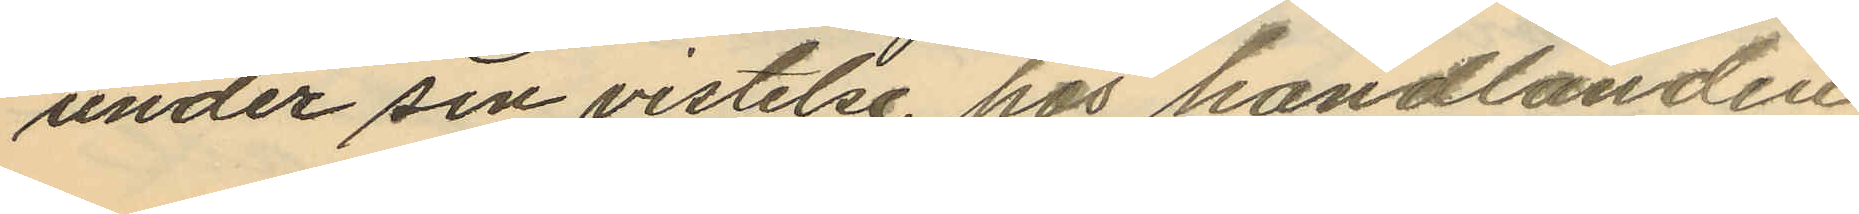under sin vistelse hos handlanden
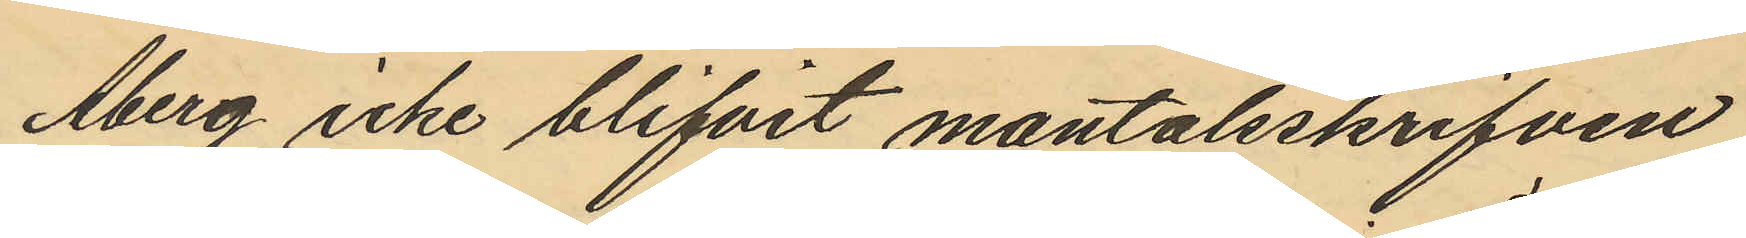Åberg icke blifvit mantalsskrifven
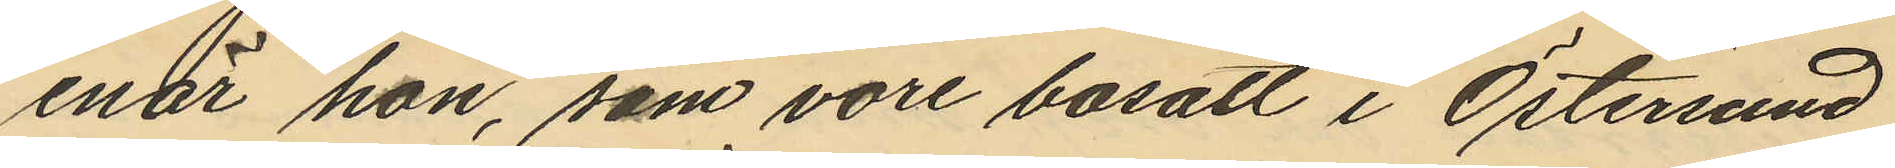enär hon, som vore bosatt i Östersund
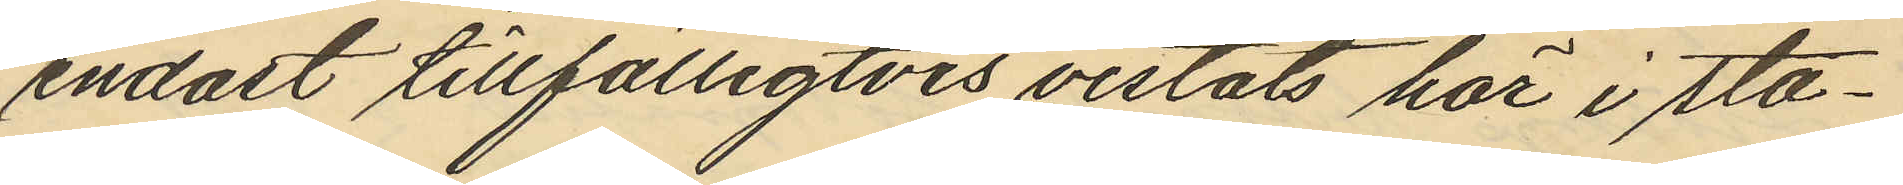endast tillfälligtvis vistats här i sta¬
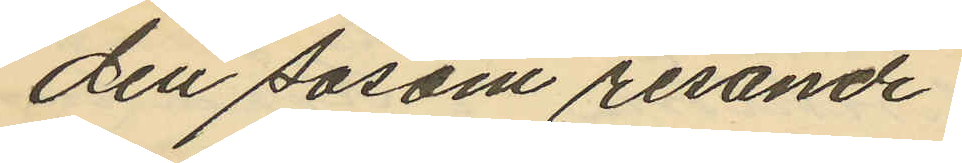den såsom resande.
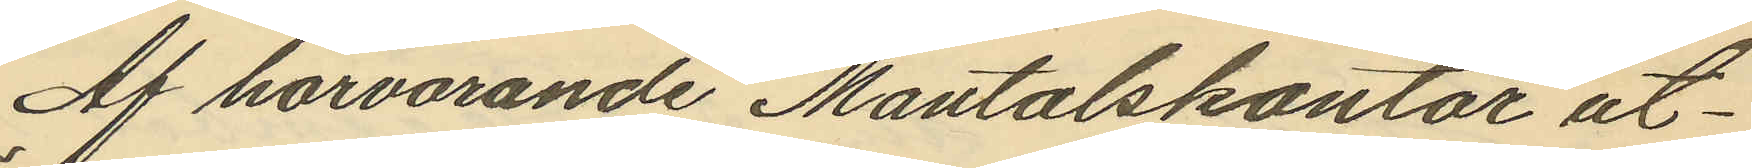Af härvarande Mantalskontor ut¬
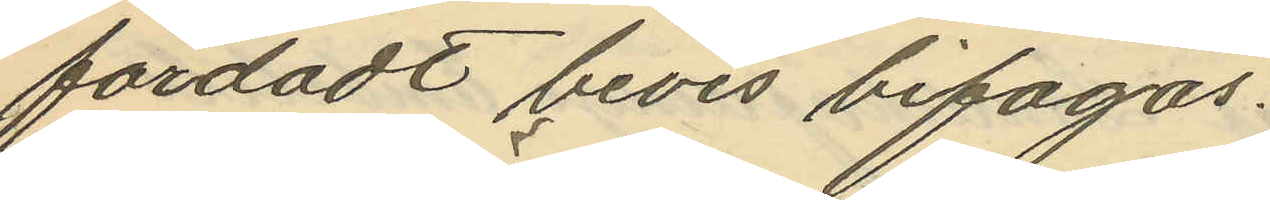färdadt bevis bifogas.
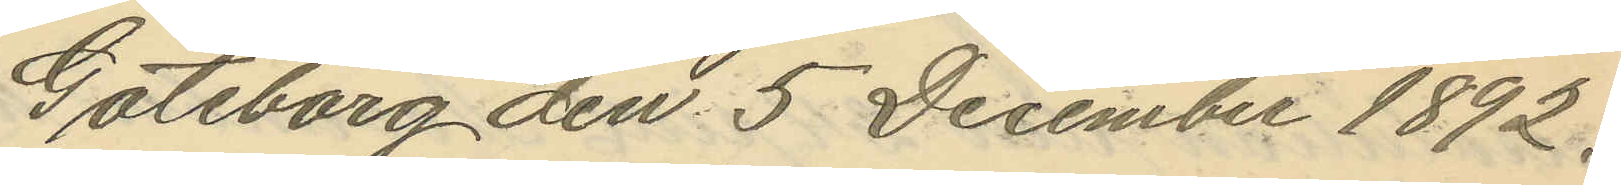Göteborg den 5 December 1892.
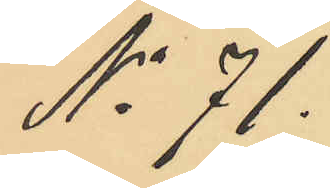No 71.
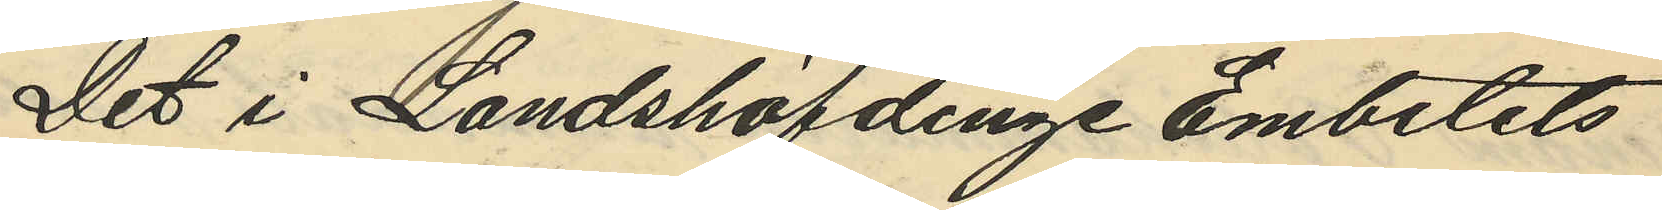Det i Landshöfdinge Embetets
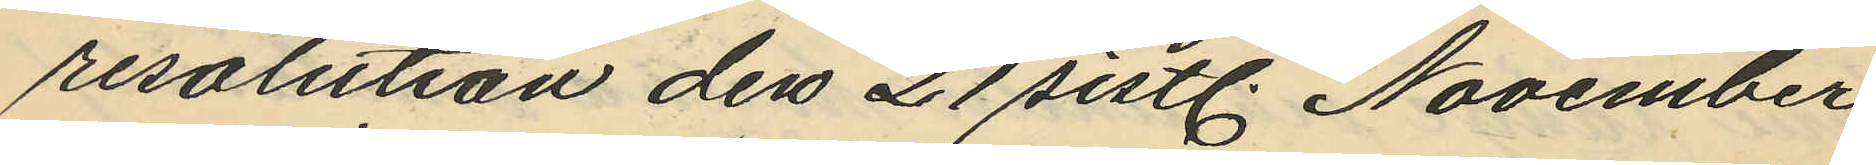resolution den 21 sistl. November
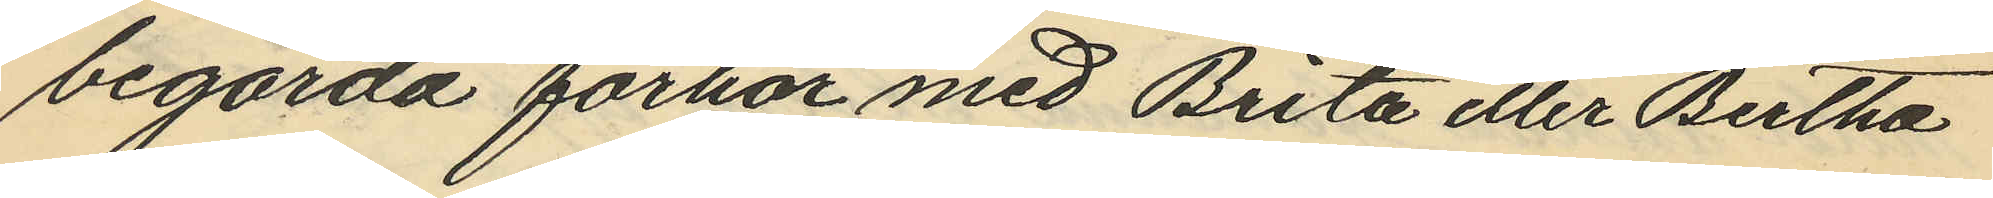begärda förhör med Brita eller Bertha
